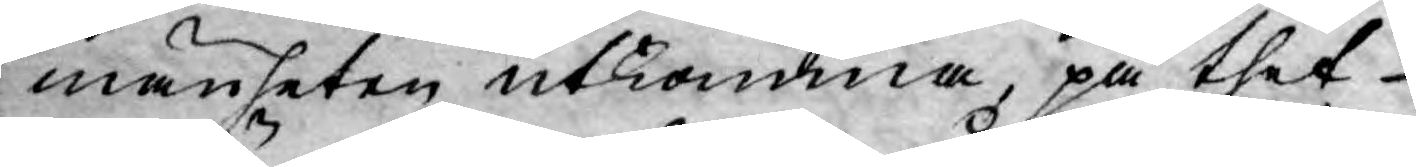mänheten utkomma, på thet
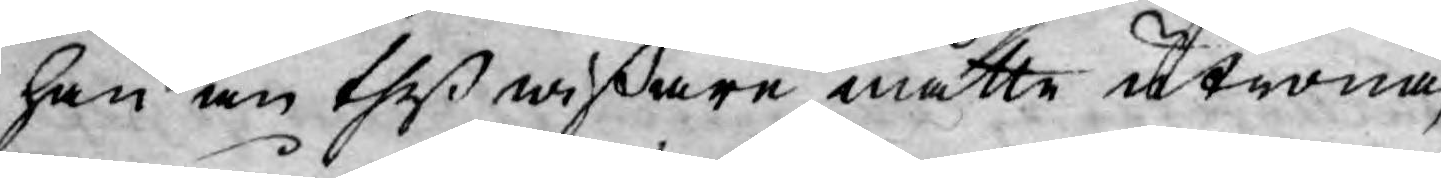han än thes wißsare måtte utröna,
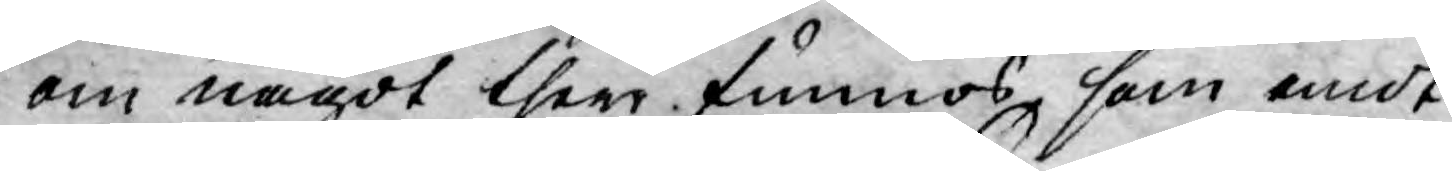om något ther funnos, som emot
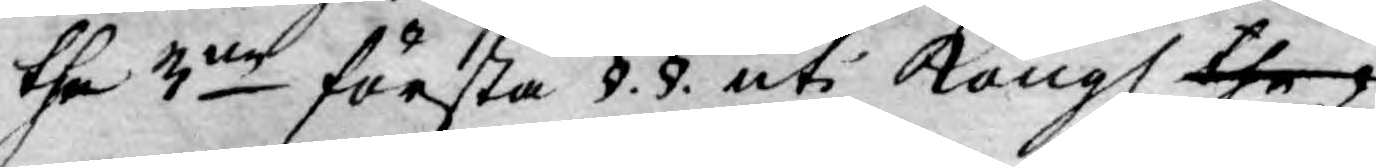the 3:ne första §. §. uti Kongl the
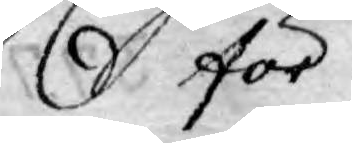för
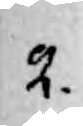2.
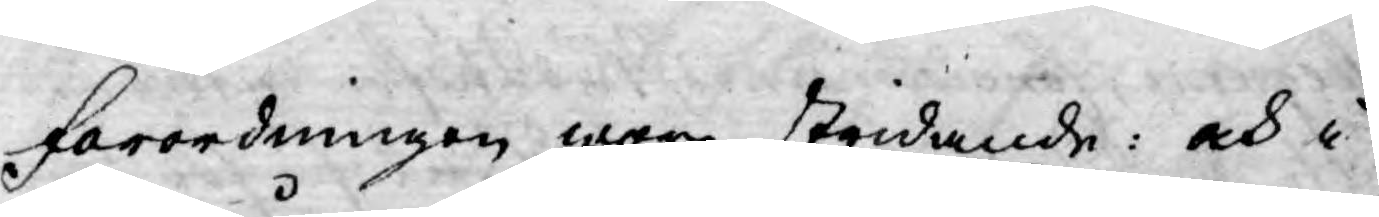förordningen wore stridande: och i
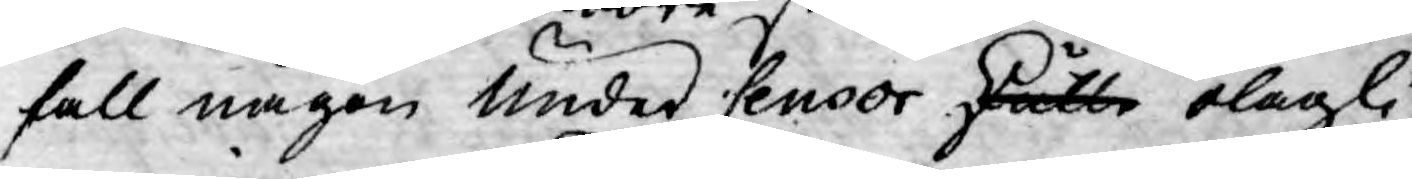fall någon under Censor skulle olagli¬
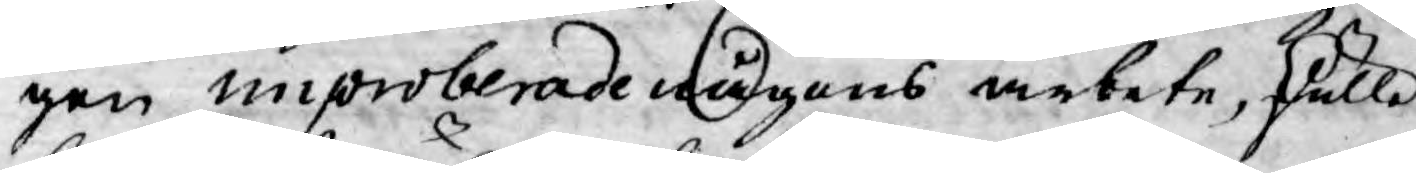gen improberade någons arbete, skulle
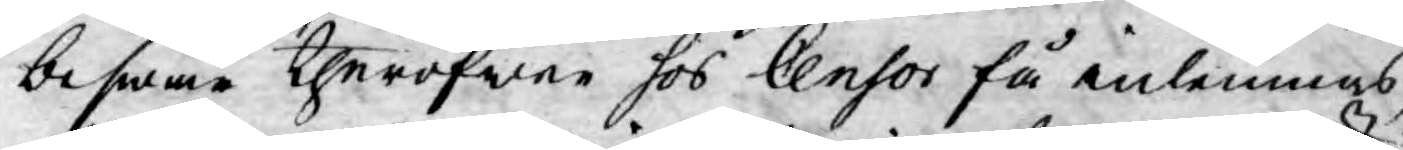beswär theröfwer hos Censor få inlemnas,
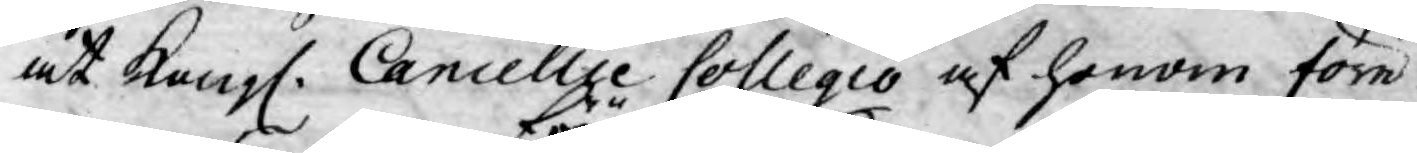at Kongl. Cancellie Collegio af honom före¬
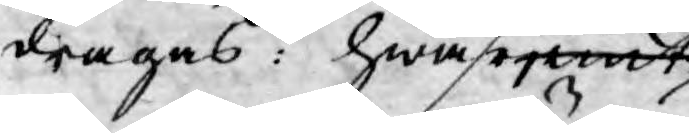dragas: hwarjemt
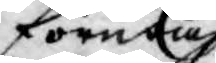förutan
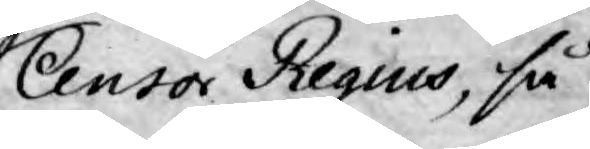Censor Regius, så
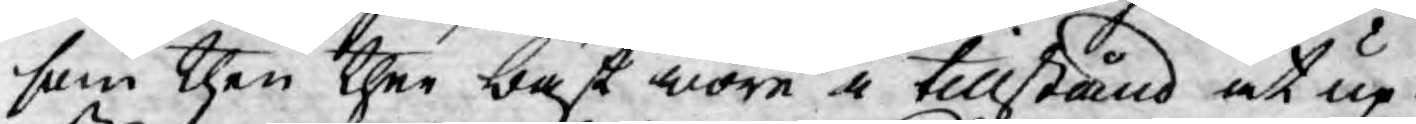som then ther bäst wore i tillstånd at up¬
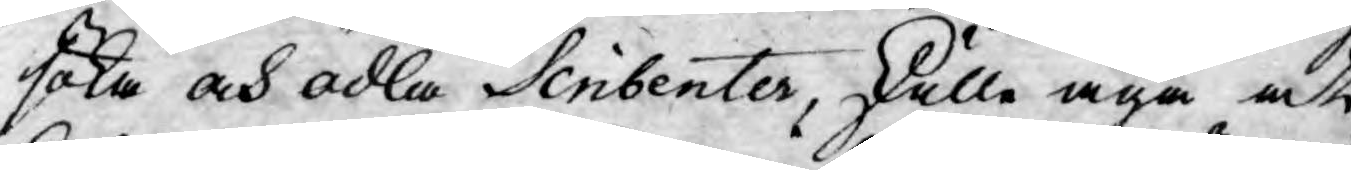söka och odla Scribenter, skulle äga at
